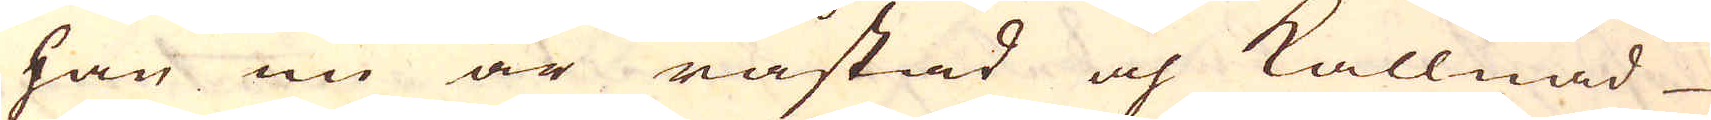han nu är råstad och kallnad
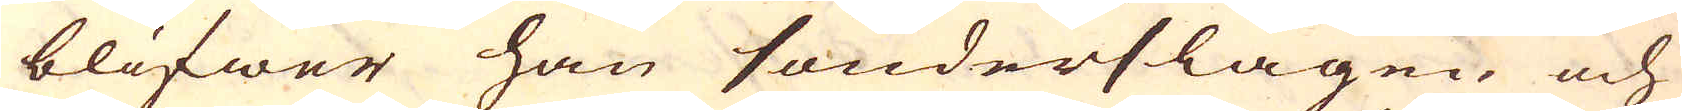blifwer han sönderslagen och
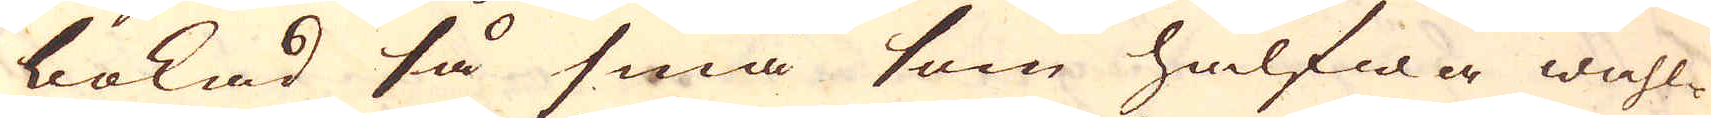bokad så små som halfwa wahl-
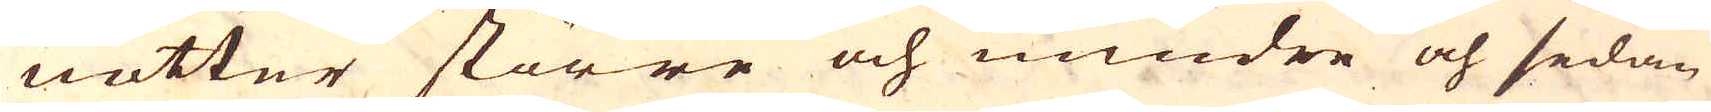nötter större och mindre och sedan
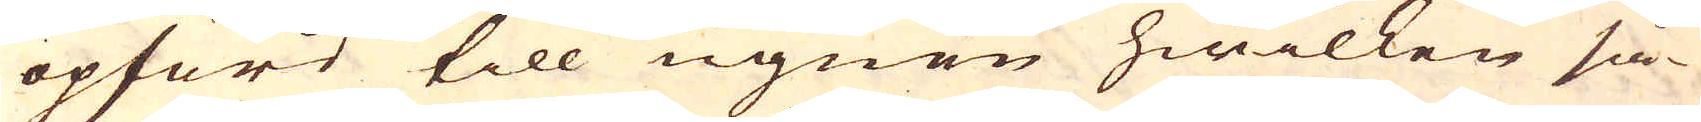opförd till ugnen hwilken så-
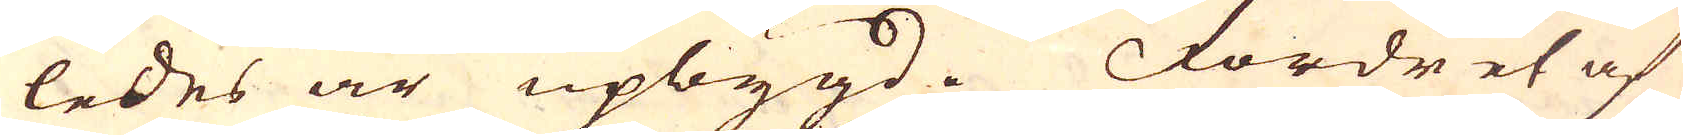ledes är upbygd. Fordret af
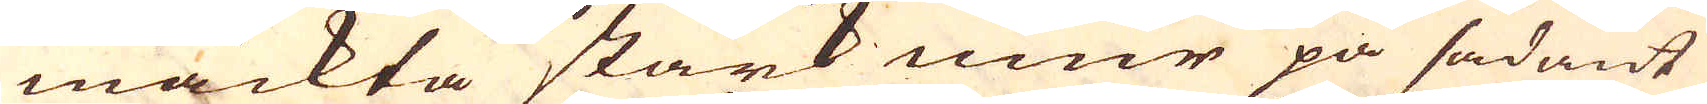mäckta stark muur på sådant
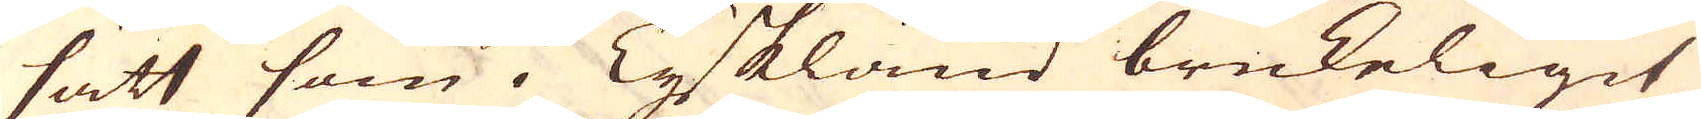sätt som i Tyskland brukeligit
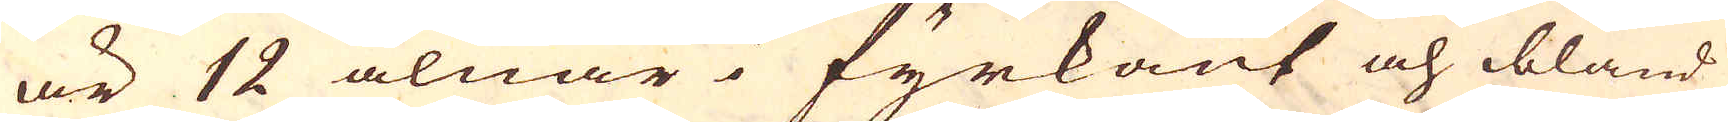är 12 alnar i fyrkant och ibland
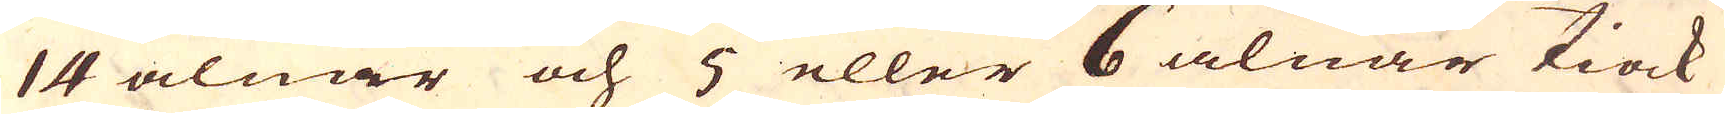14 alnar och 5 eller 6 alnar tiock
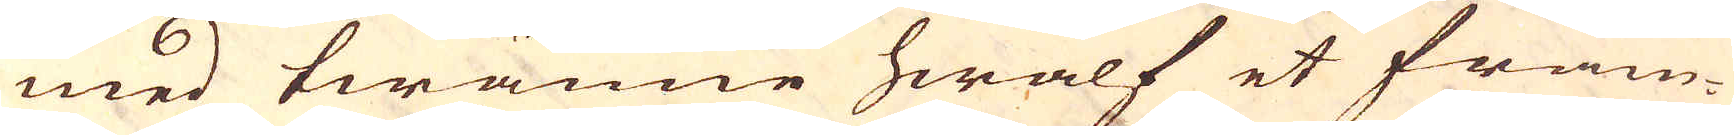med twänne hwalf et fram-
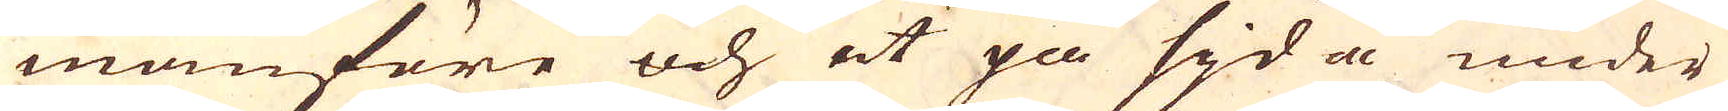manföre och et på sijda under
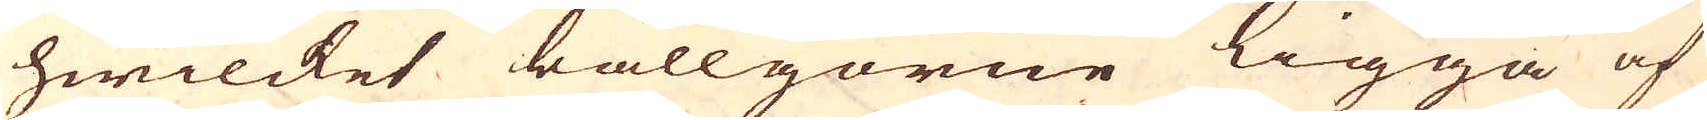hwilcket bällgorne ligga af
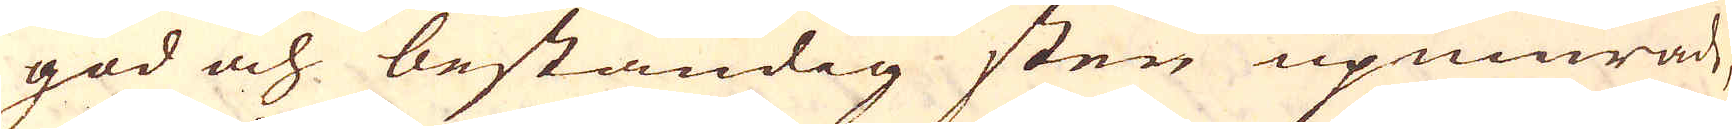god och beständig sten upmurad,
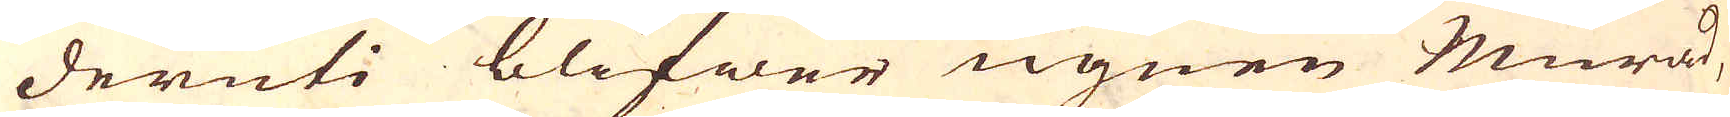deruti blifwer ugnen Murad,
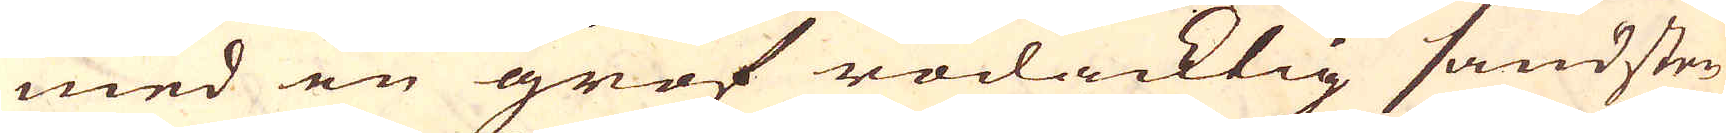med en grof rödacktig sandsten
